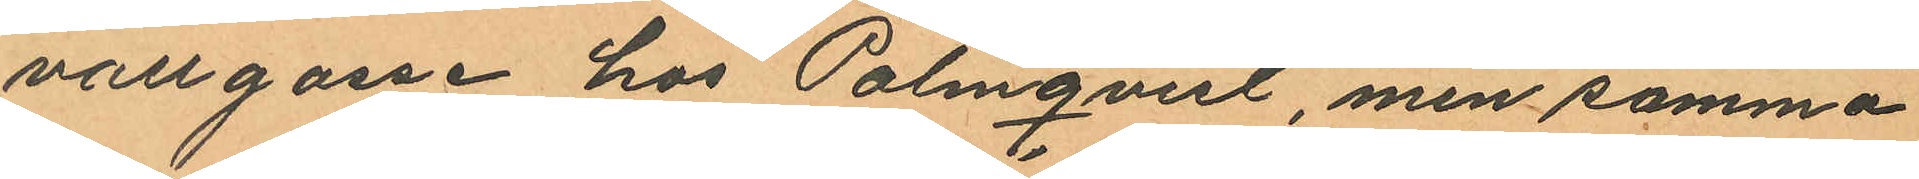vallgosse hos Palmqvist, men samma
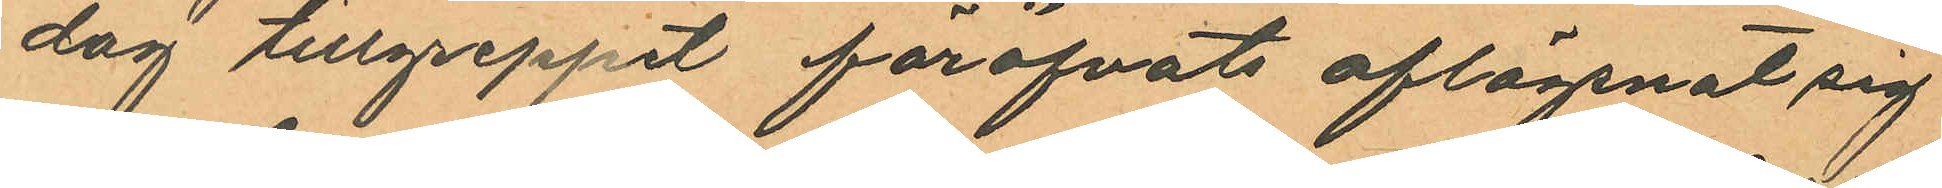dag tillgreppet föröfvats aflägsnat sig
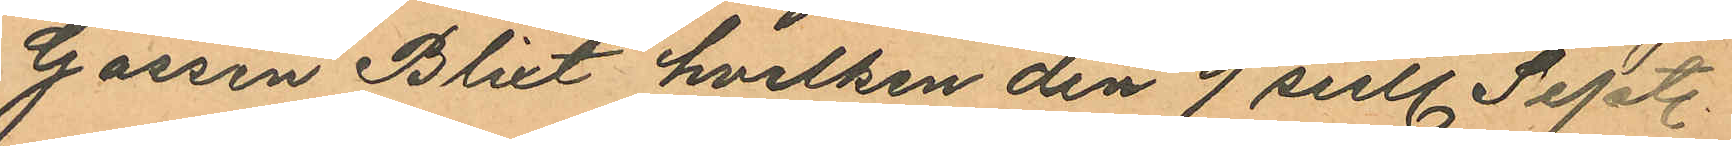Gossen Blixt hvilken den 9 sistl. Sept.
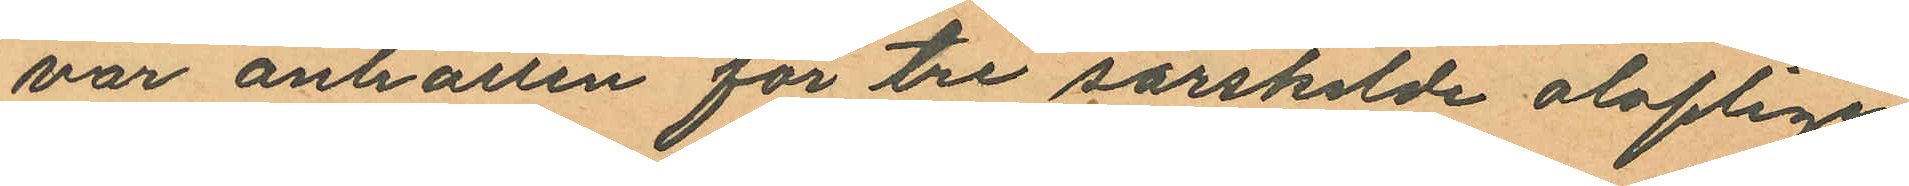var anhållen för tre särskilde oloflige
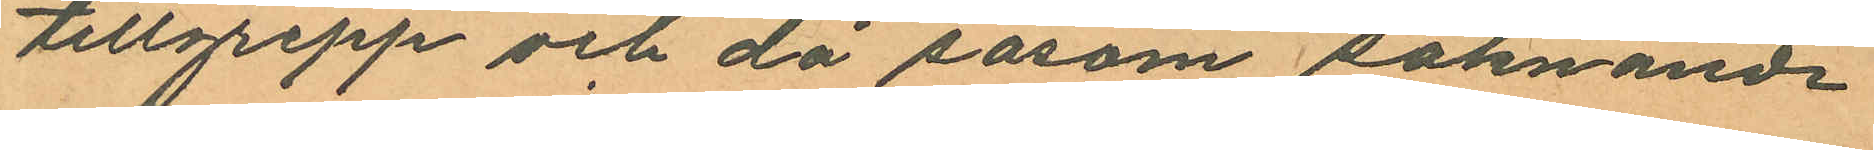tillgrepp och då såsom saknande
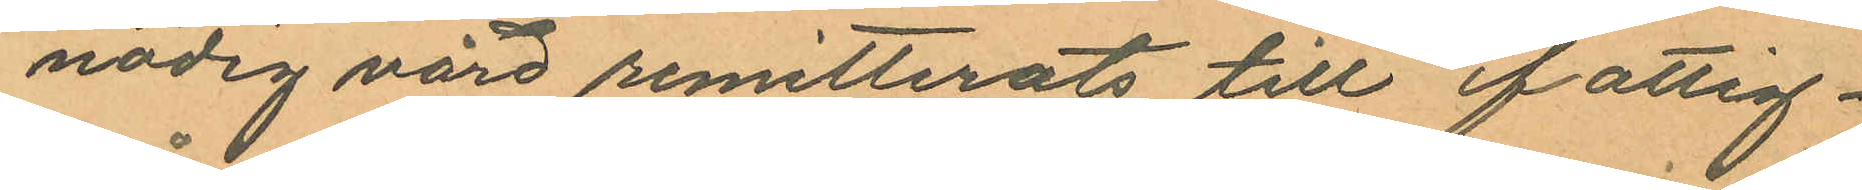nödig vård remitterats till fattig¬
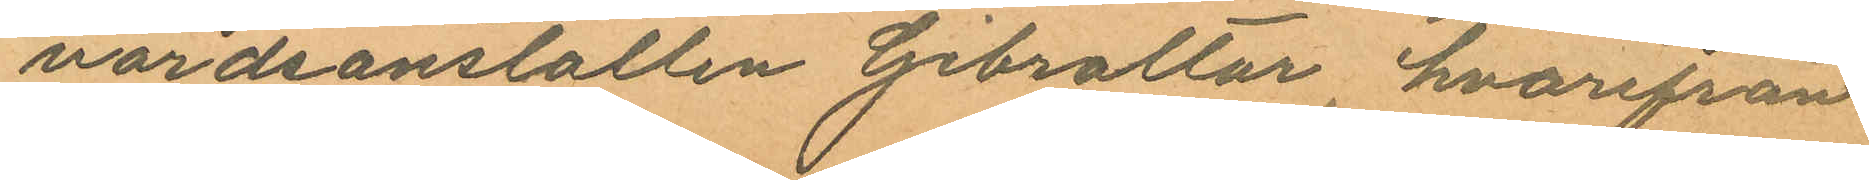vårdsanstalten Gibraltar, hvarifrån
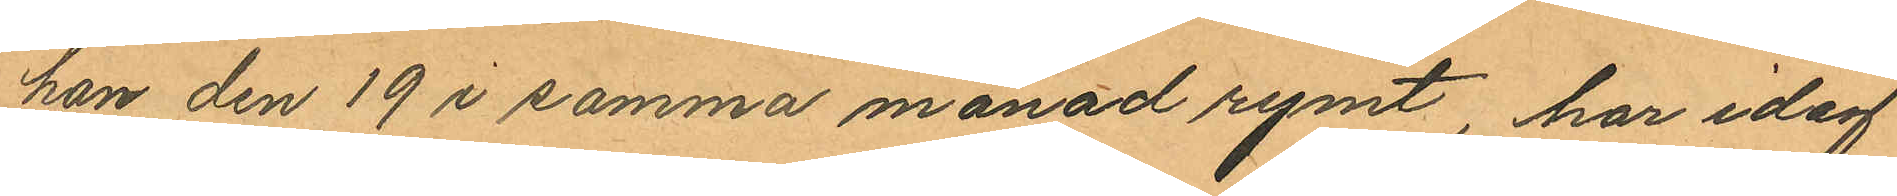han den 19 i samma månad rymt, har idag
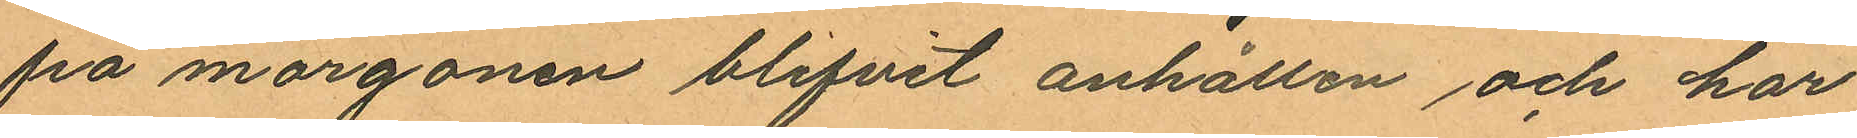på morgonen blifvit anhållen och har
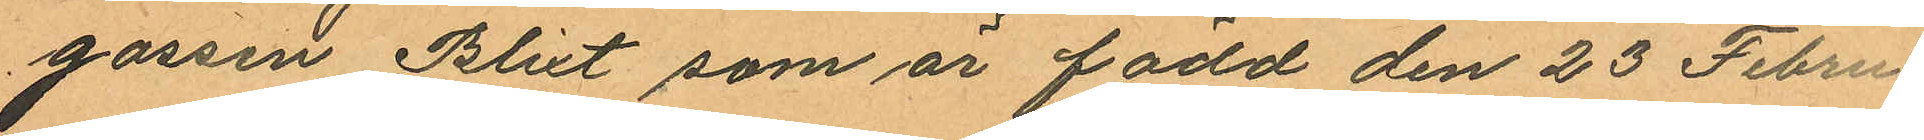gossen Blixt som är född den 23 Febru¬
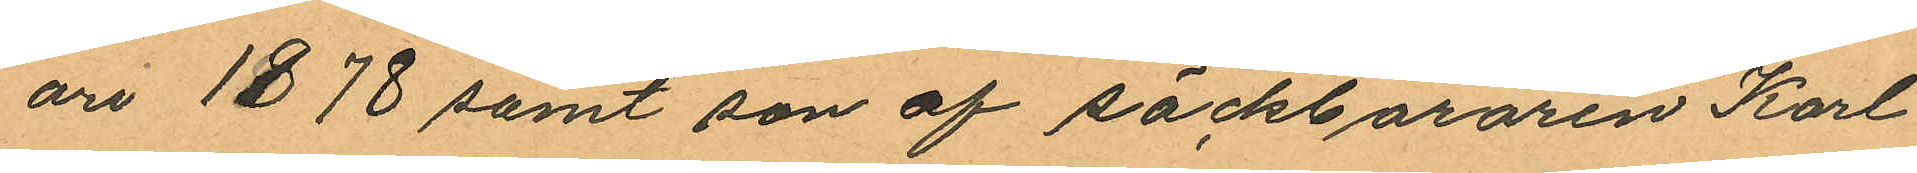ari 1878 samt son af säckbäraren Karl
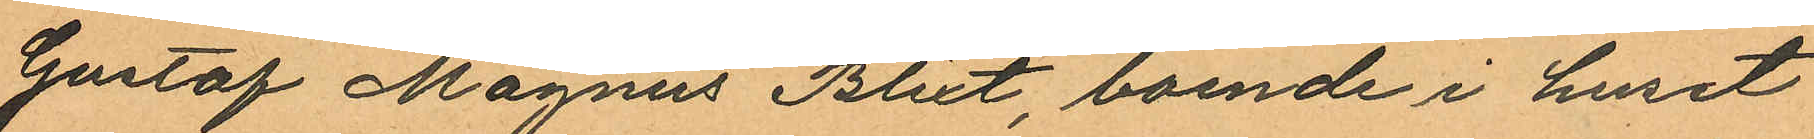Gustaf Magnus Blixt, boende i huset
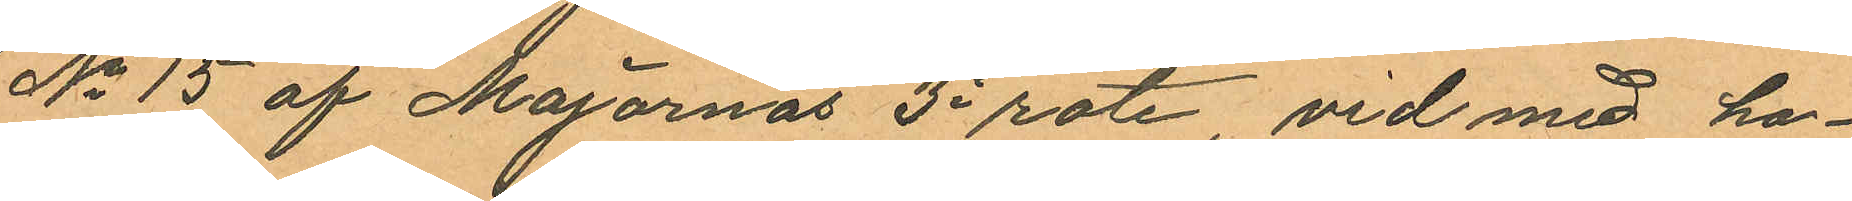No 15 af Majornas 3e rote, vid med ho¬
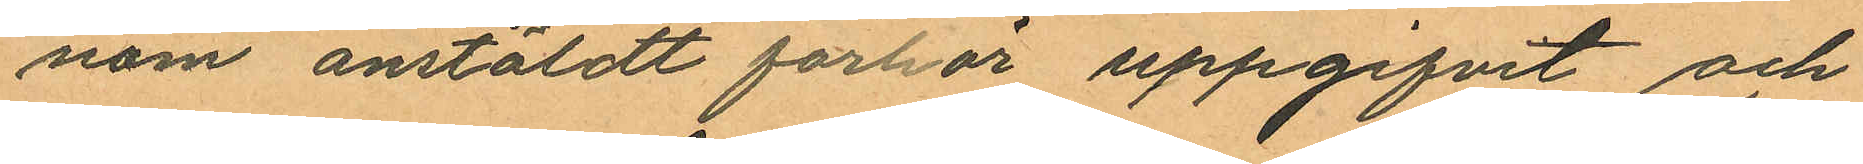nom anstäldt förhör uppgifvit och
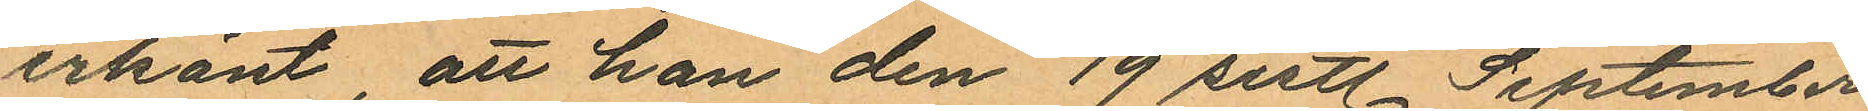erkänt, att han den 19 sistl September
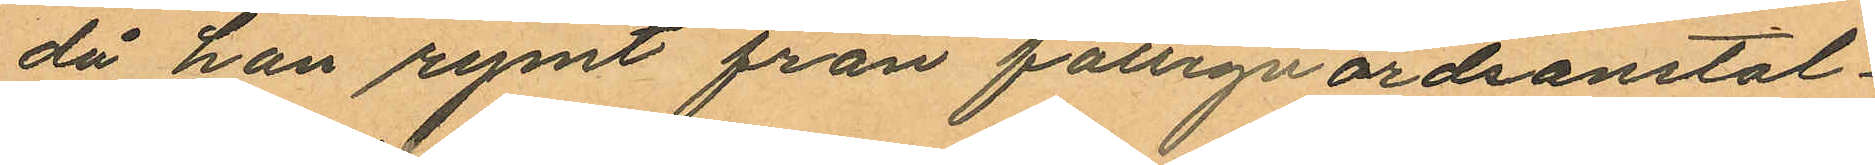då han rymt från fattigvårdsanstal¬
